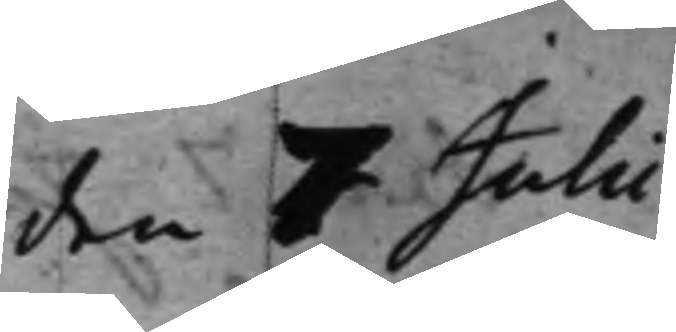den 7 Julii
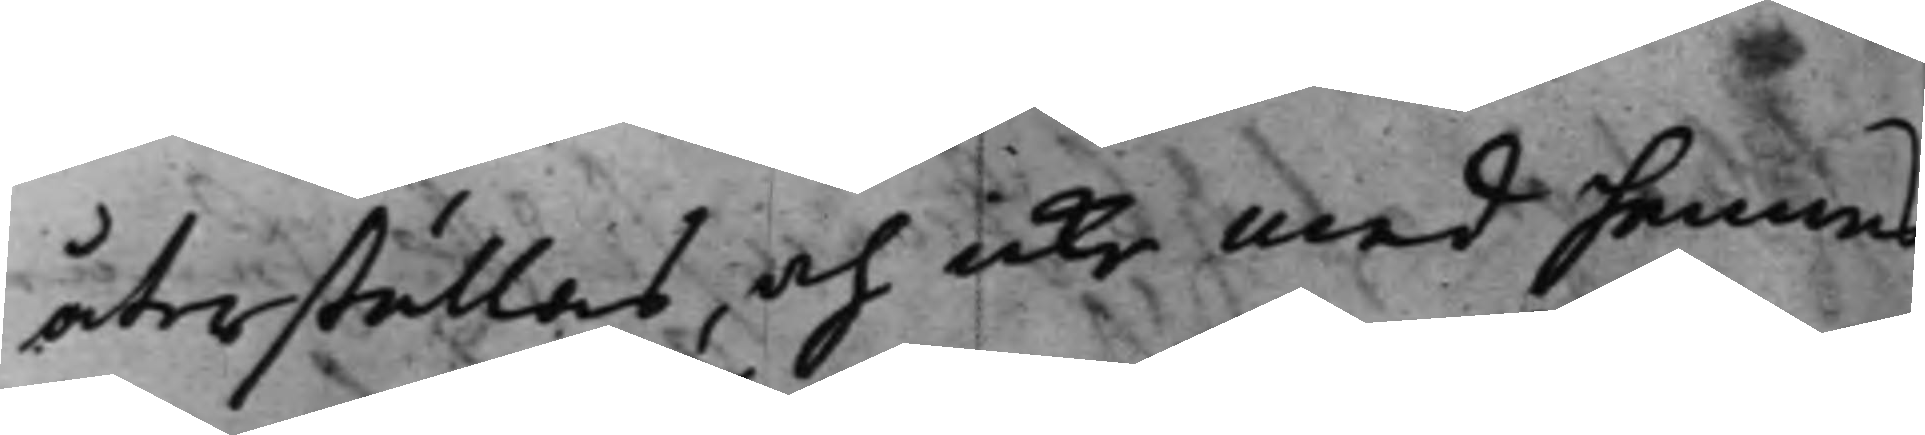återställas, och icke med hennes
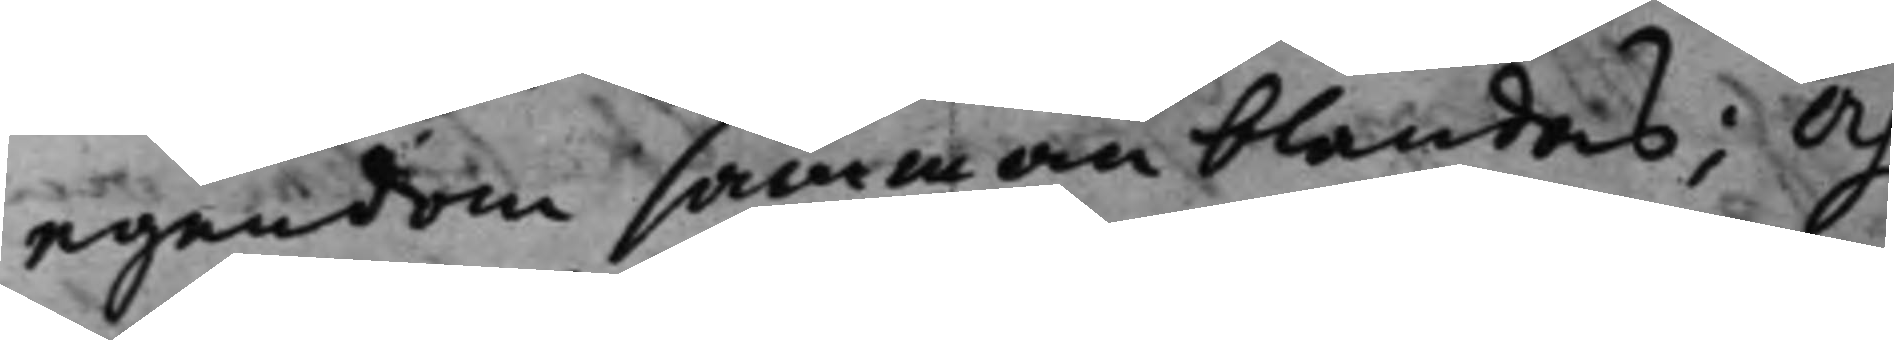egendom sammanblandas; Och
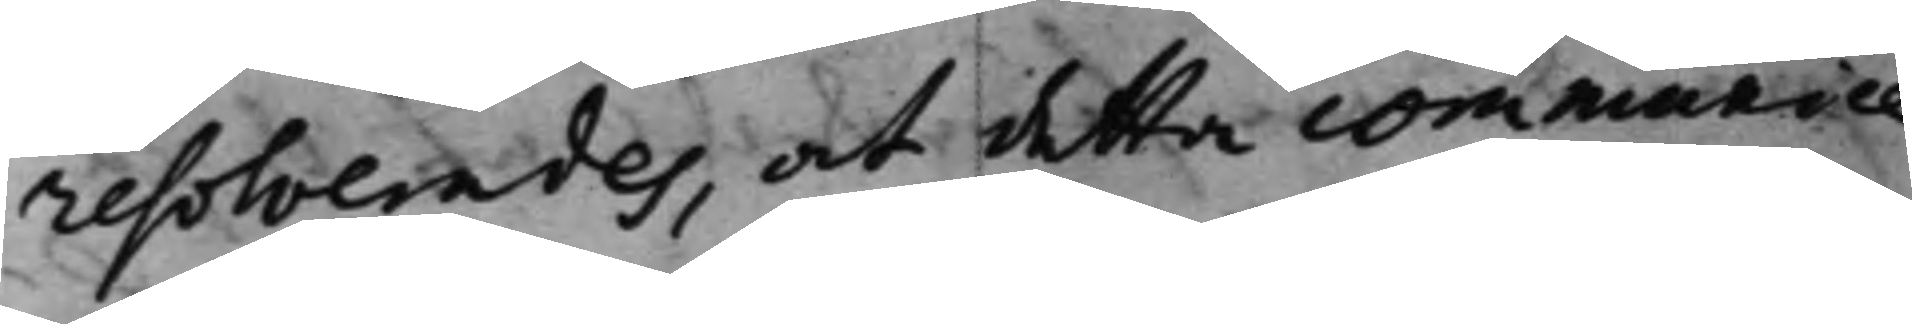resolverades, at detta communice¬
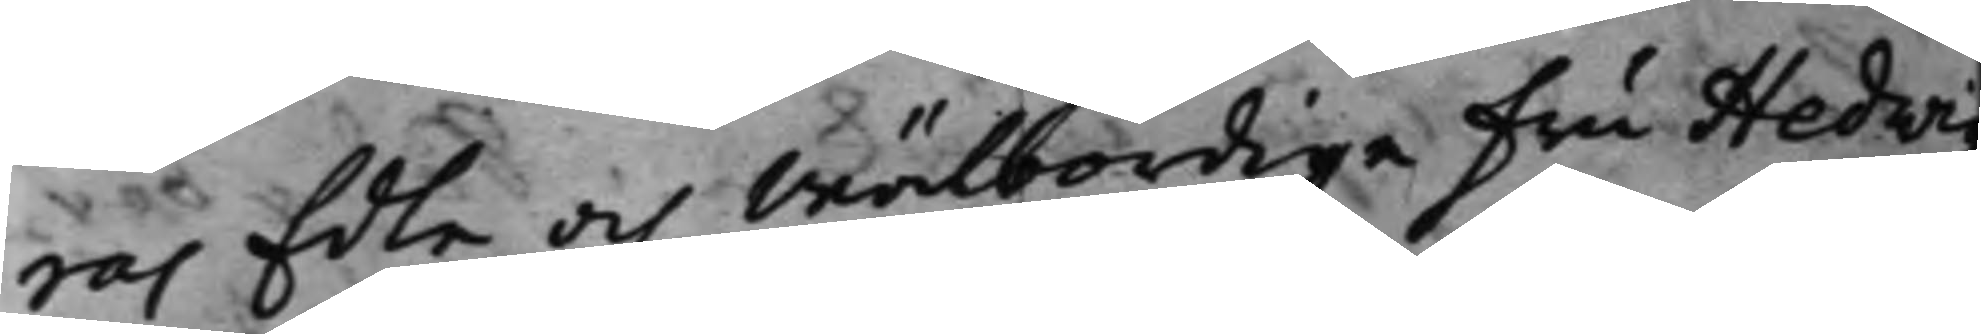ras Edle och Wälbördige Fru Hedwig¬
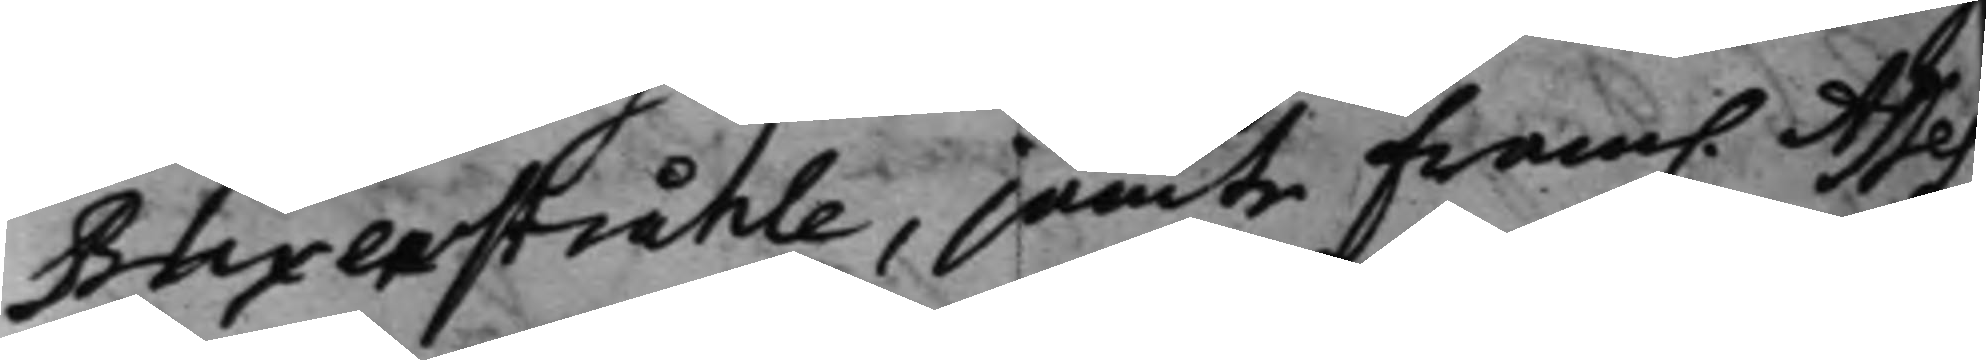Blixenstråhle, jämte fram. Asses¬
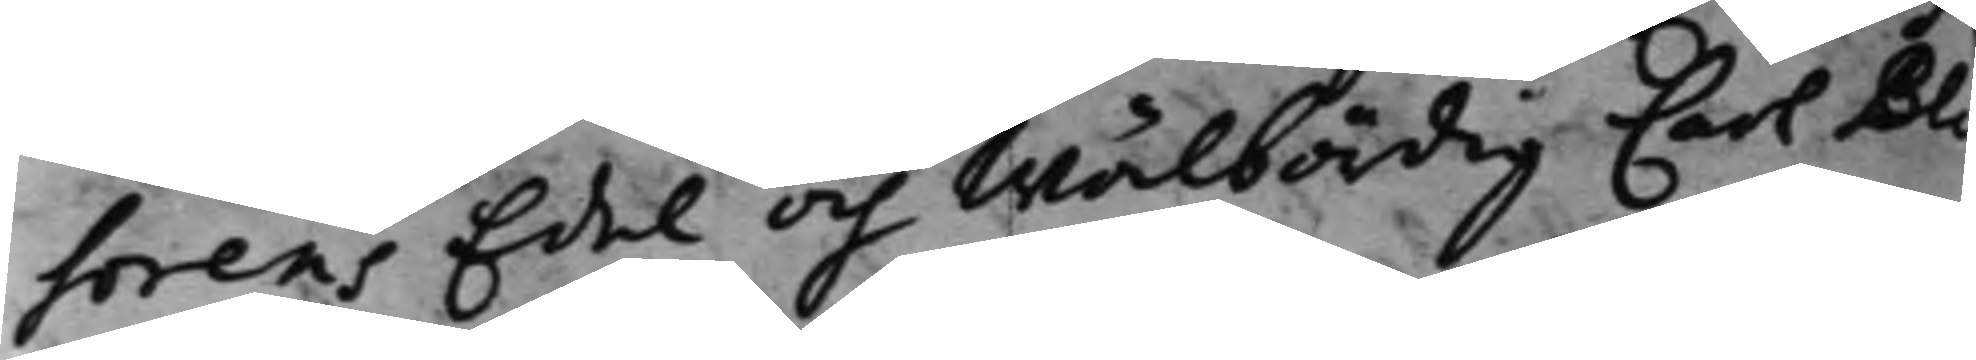sorens Edel och Wälbördig Carl Bli¬
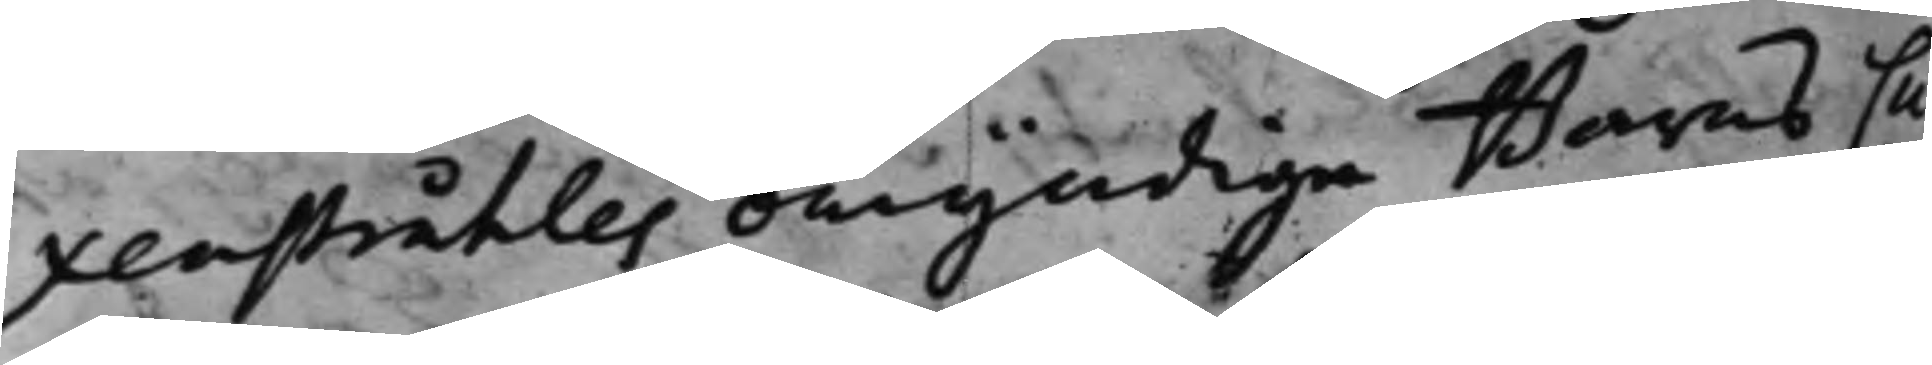xenstråhles omyndige Barns Cu¬
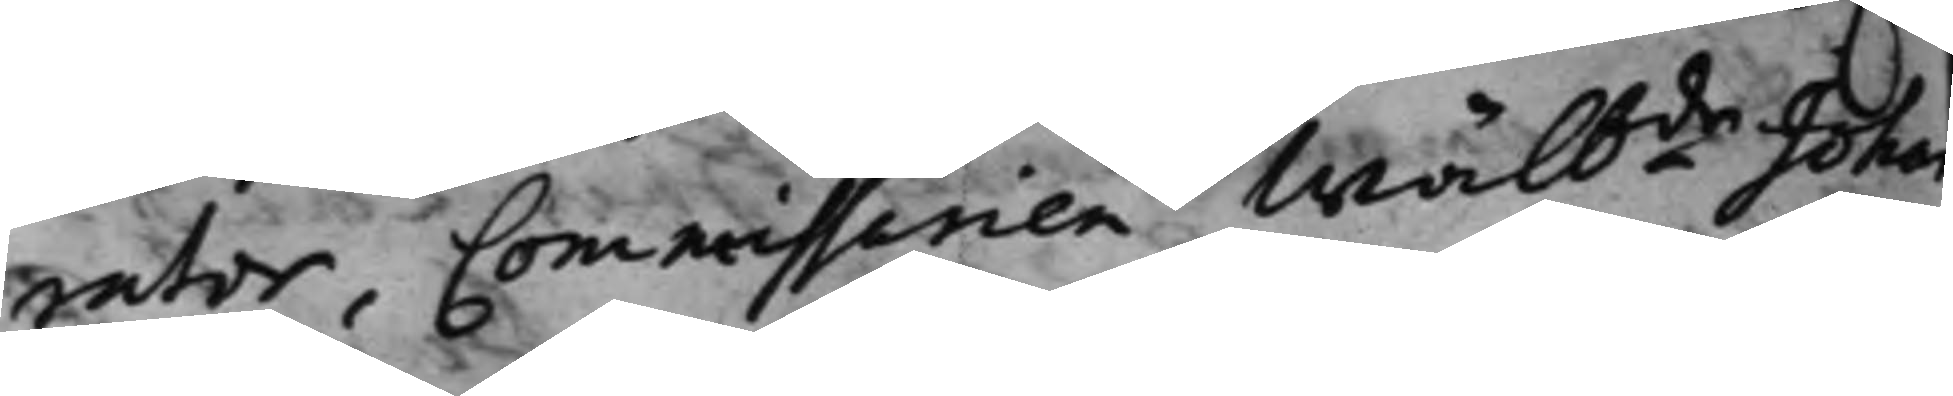rator, Commissarien Wälbde Johan
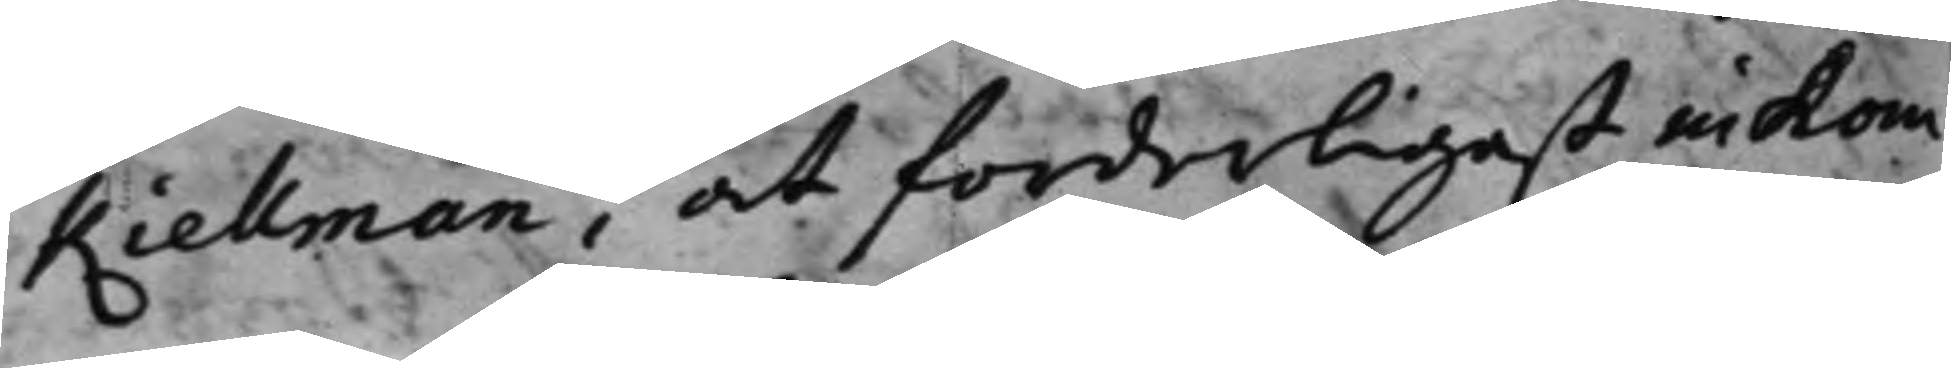Kiellman, at forderligast inkom¬
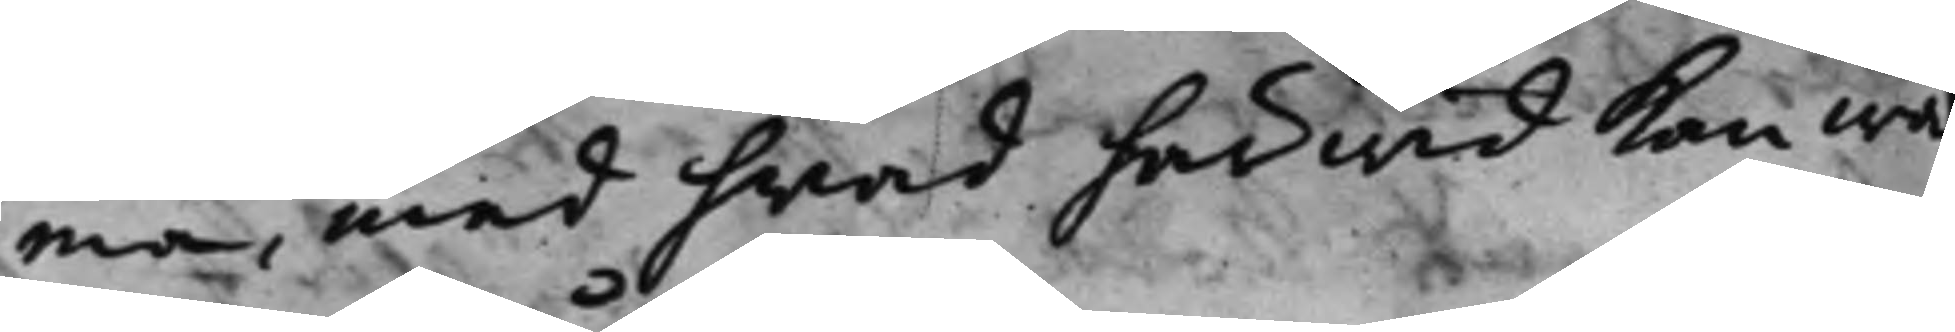ma, med hvad här wid kan wa¬
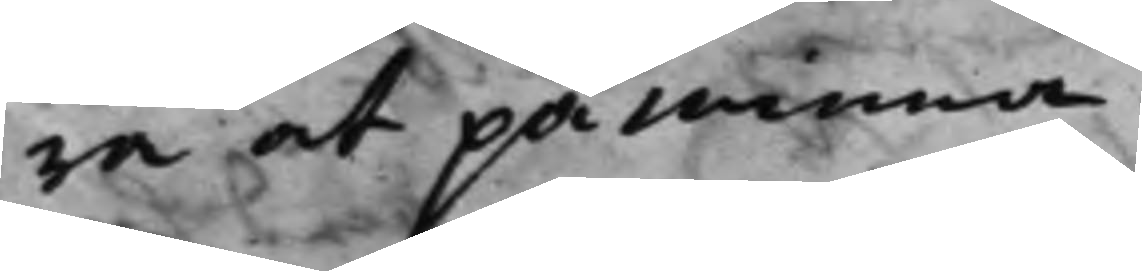ra at påminna.
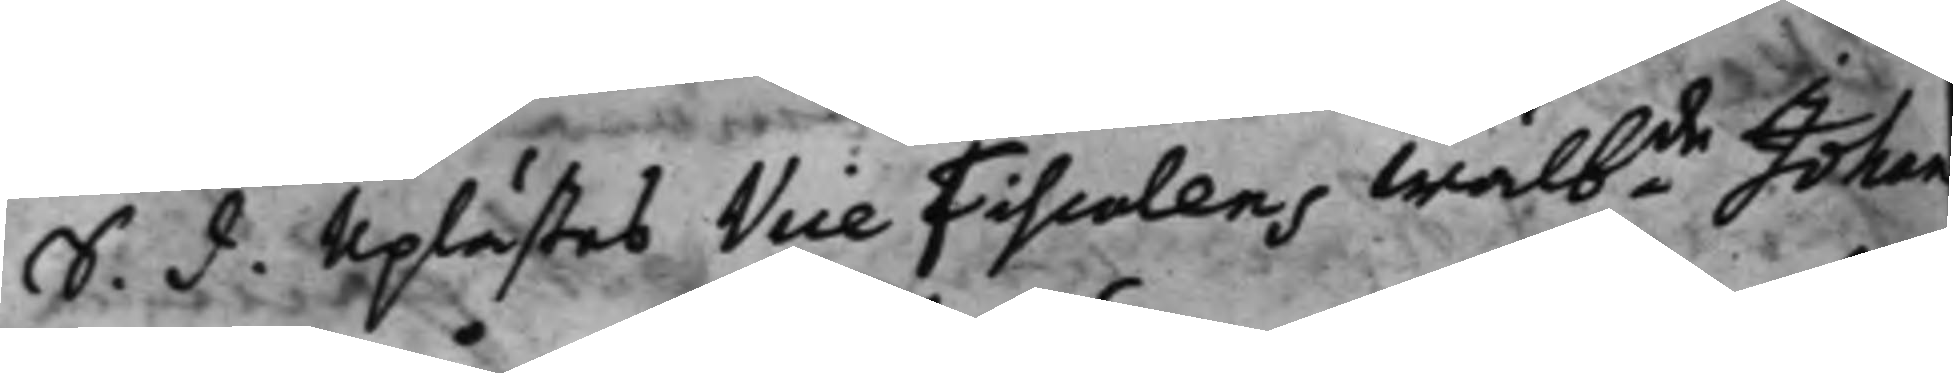S. d. Uplästes Vice Fiscalens Wälbde Johan
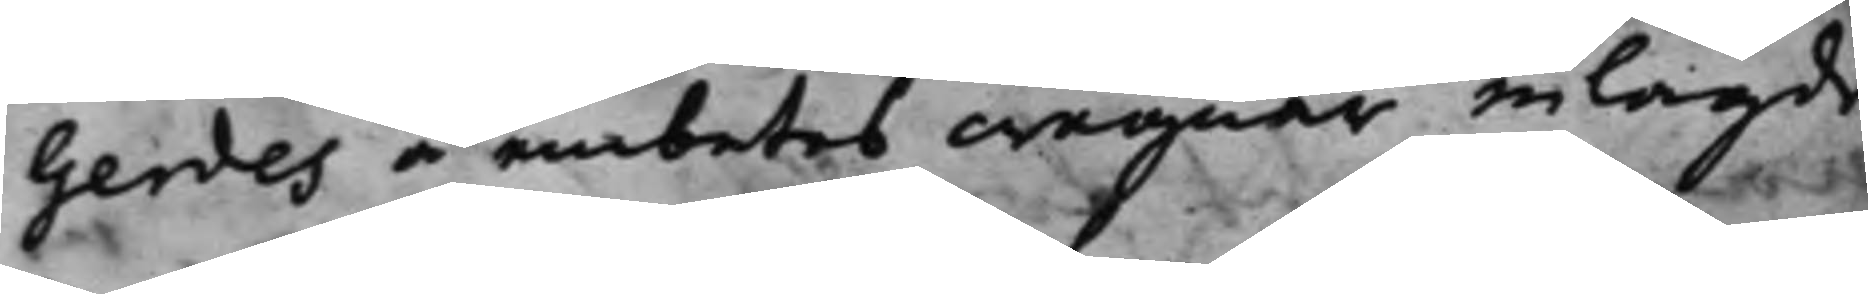Gerdes å embetes wägnar inlagde
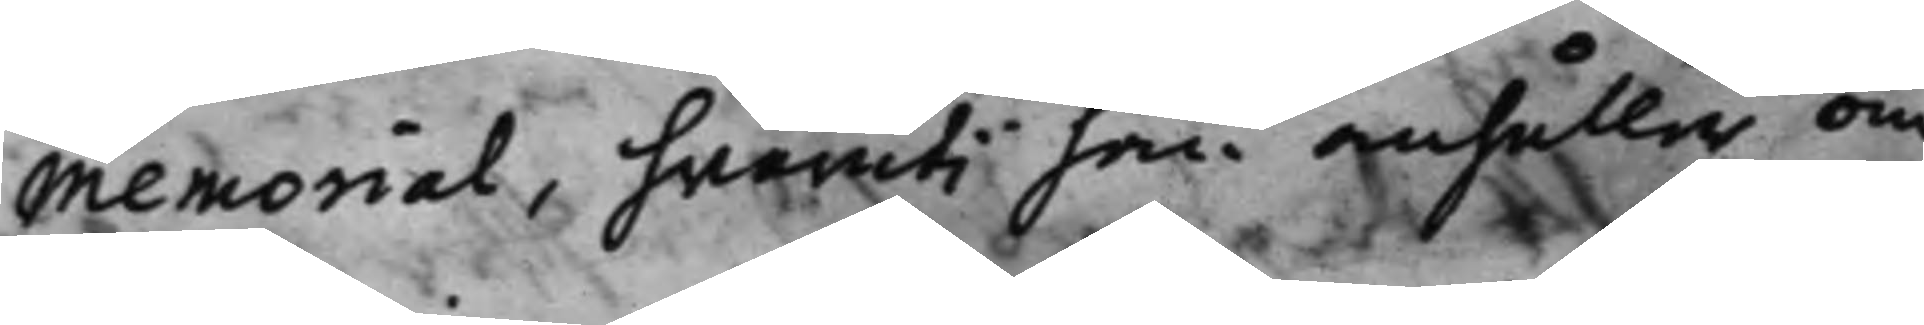Memorial, hvaruti han anhåller om
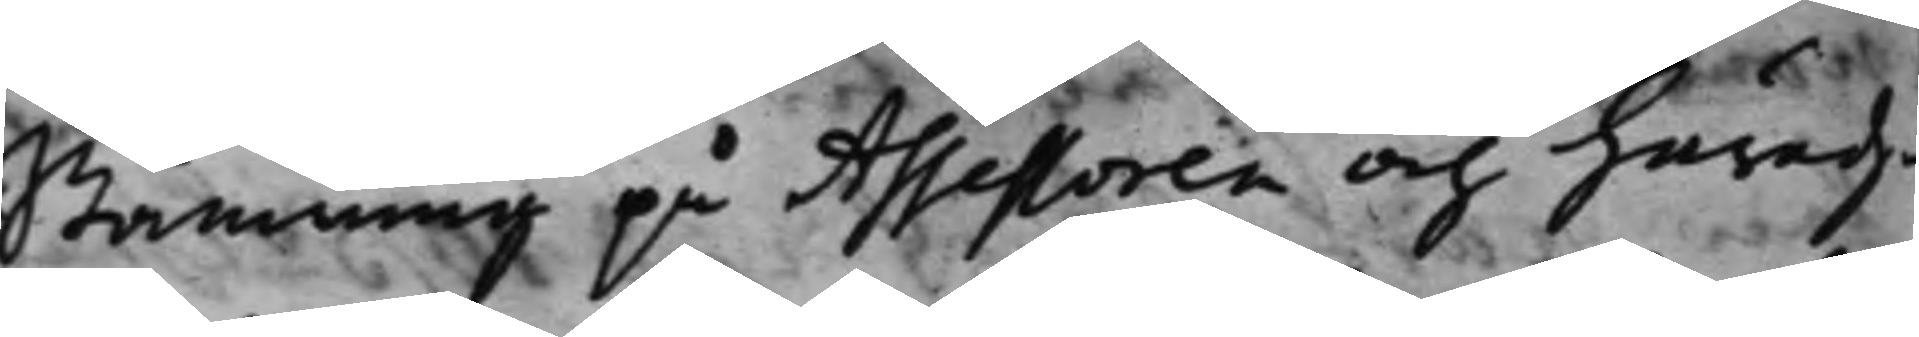Stämning på Assessoren och häradz¬
